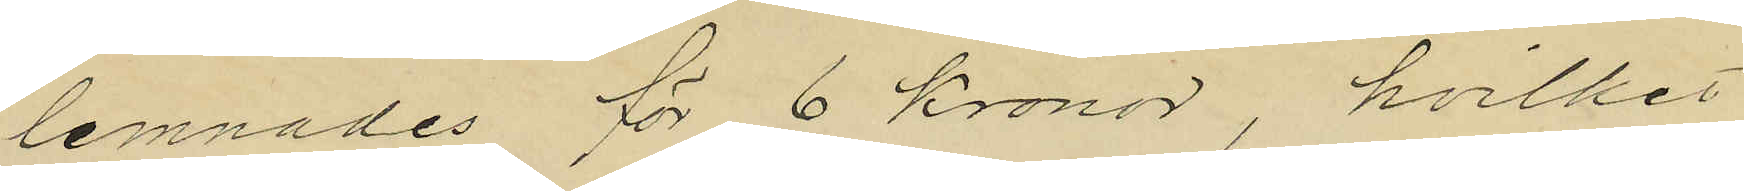lemnades för 6 kronor, hvilket
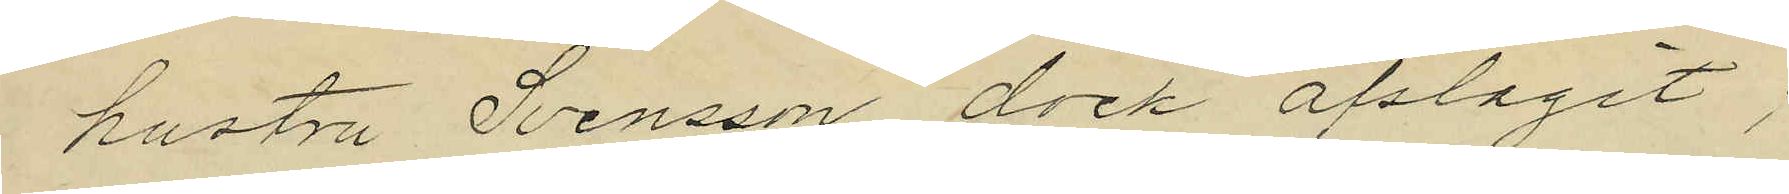hustru Svensson dock afslagit;
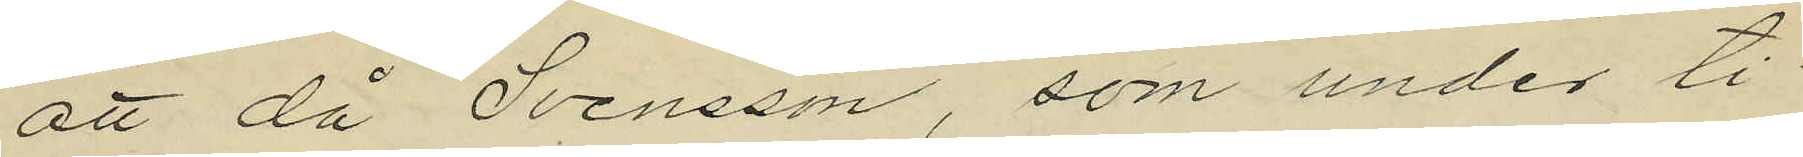att då Svensson, som under ti¬
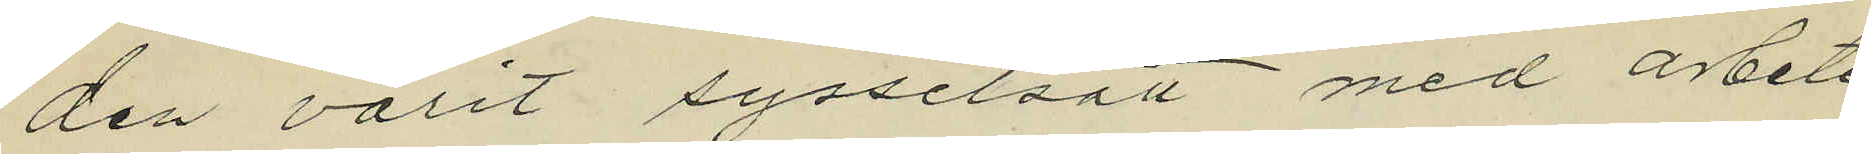den varit sysselsatt med arbete
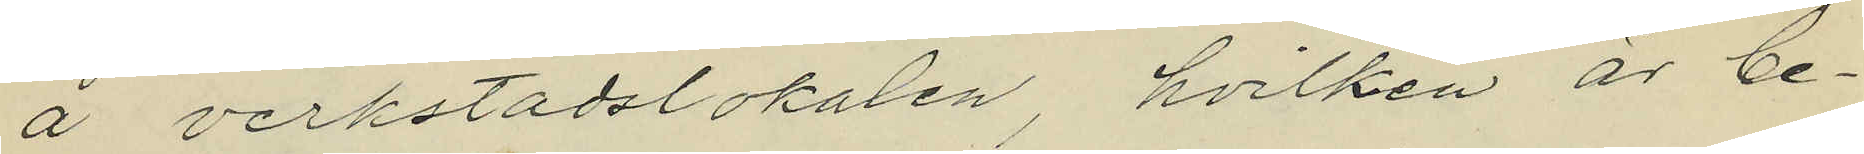å verkstadslokalen, hvilken är be¬
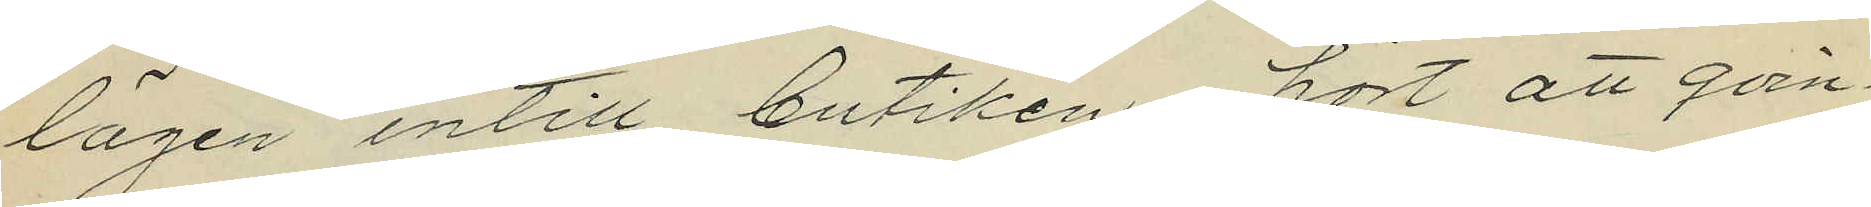lägen intill butiken, hört att qvin¬
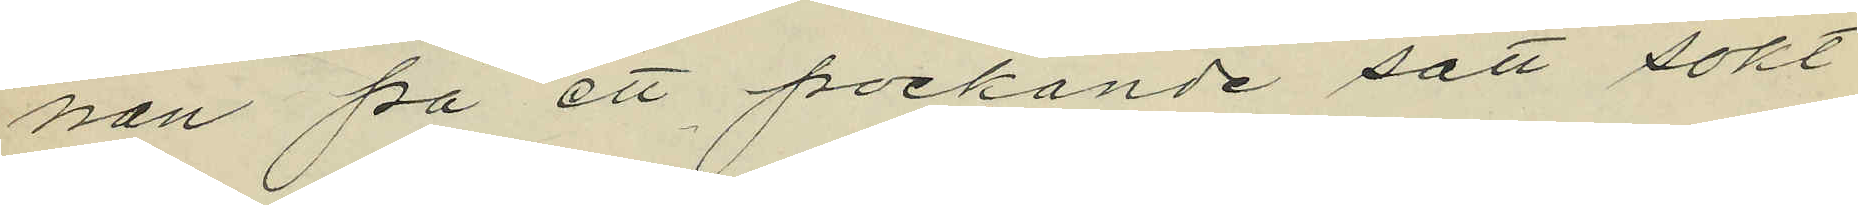nan på ett pockande sätt sökt
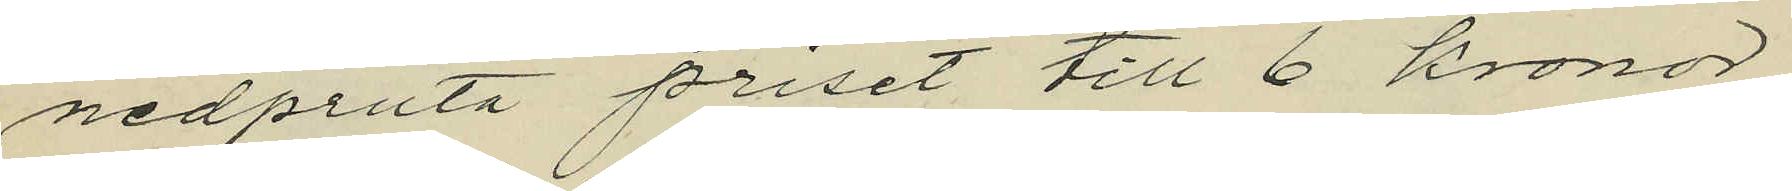nedpruta priset till 6 kronor,
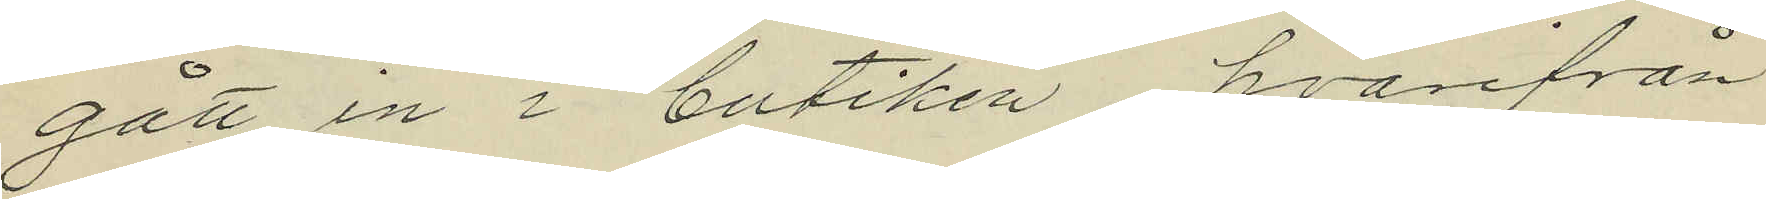gått in i butiken, hvarifrån
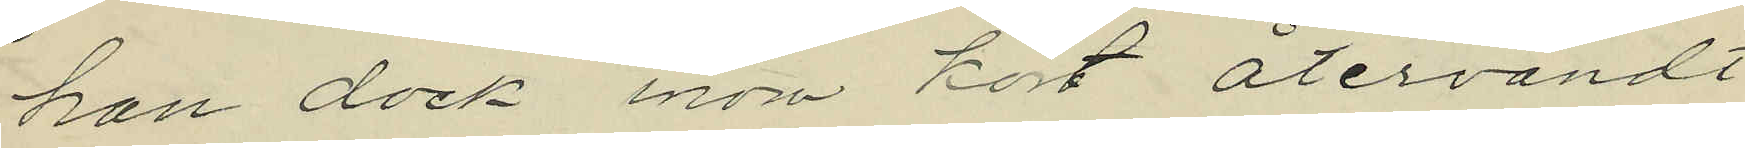han dock inom kort återvändt
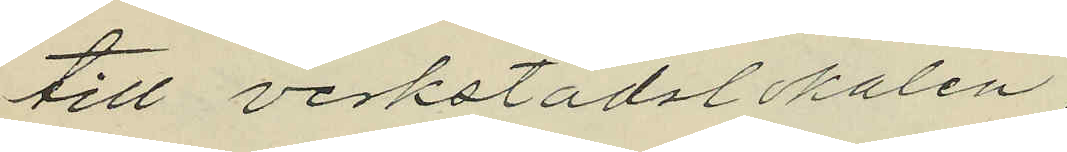till verkstadslokalen,
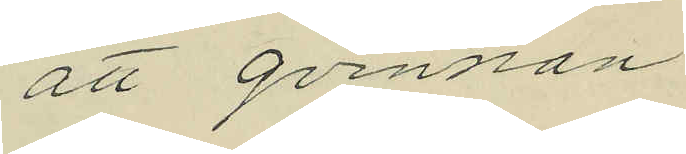att qvinnan
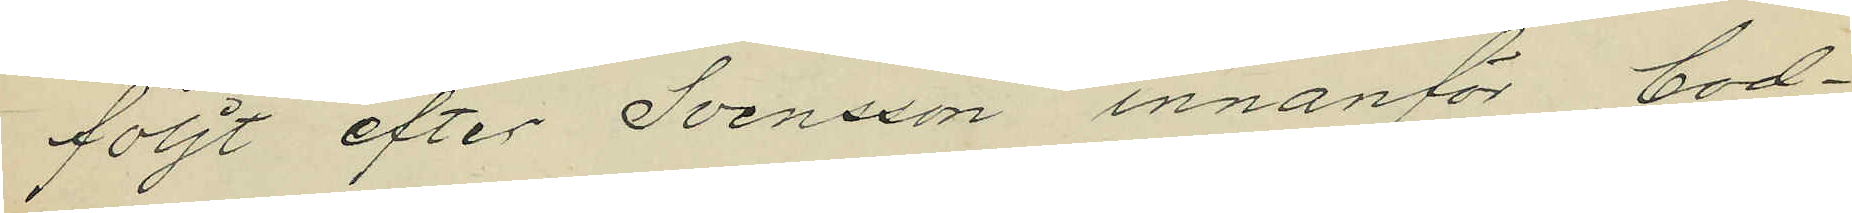följt efter Svensson innanför bod¬
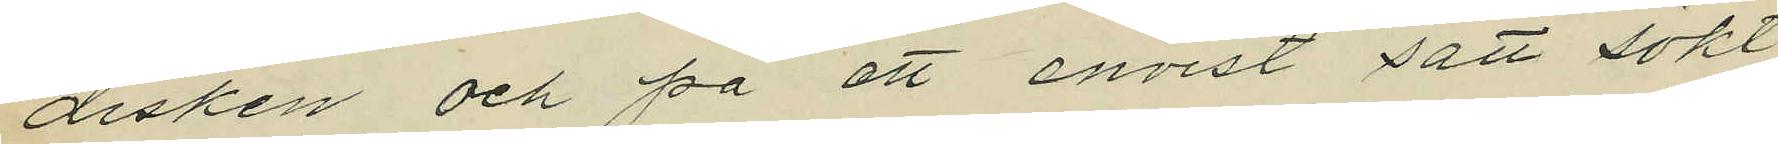disken och på ett envist sätt sökt
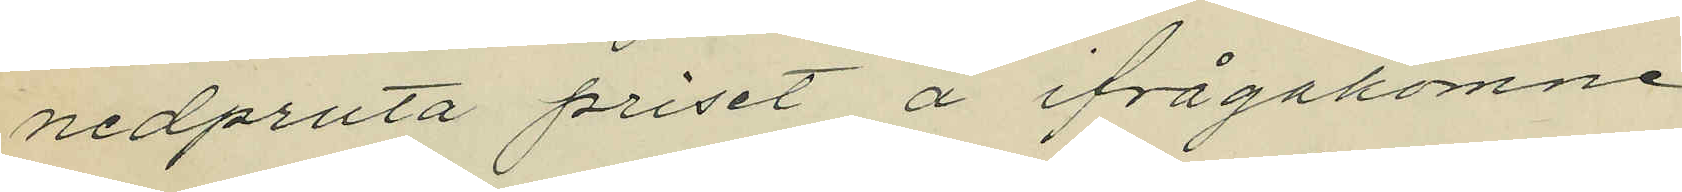nedpruta priset å ifrågakomne
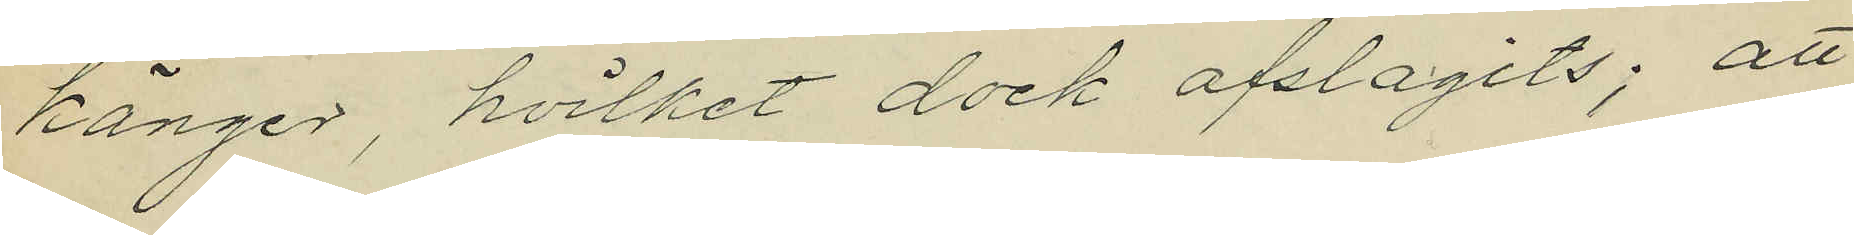känger, hvilket dock afslagits; att
